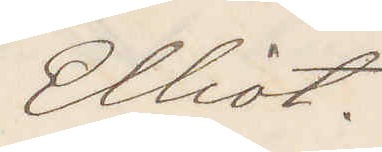Elliot.
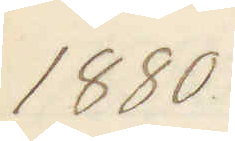1880
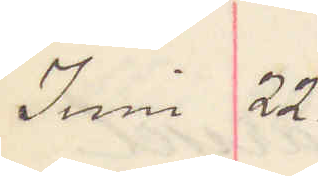Juni 22.
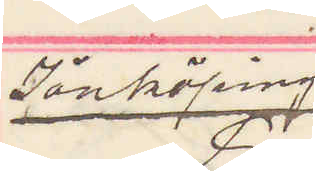Jönköping.
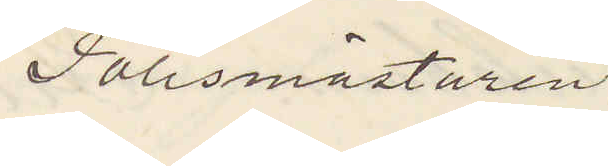Polismästaren
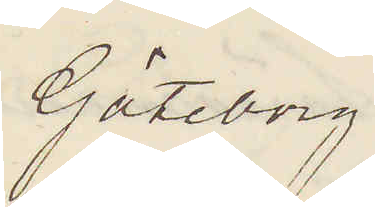Göteborg
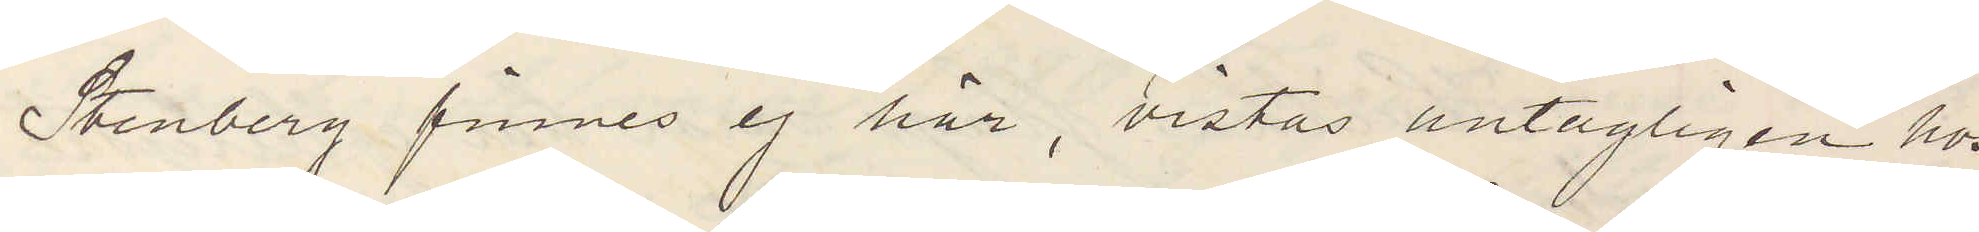Stenberg finnes ej här, vistas antagligen hos
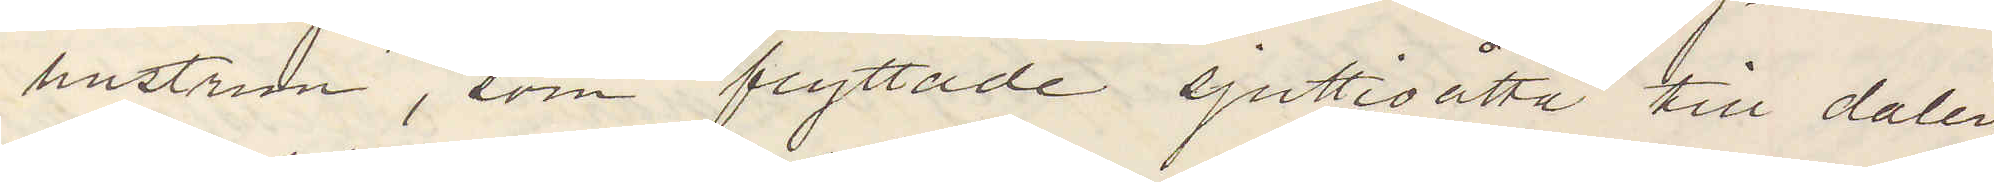hustrun, som flyttade sjuttioåtta till dalen
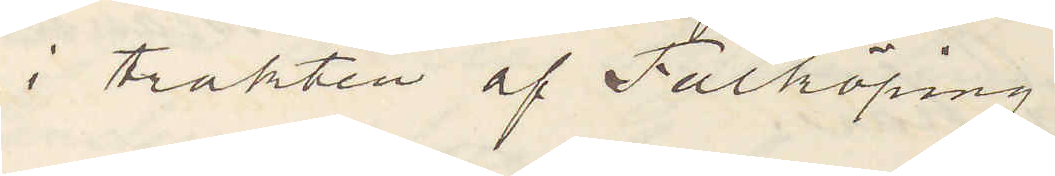i trakten af Falköping.
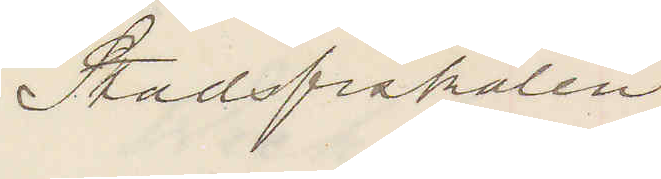Stadsfiskalen
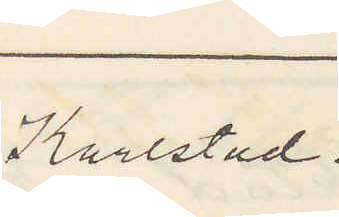Karlstad.
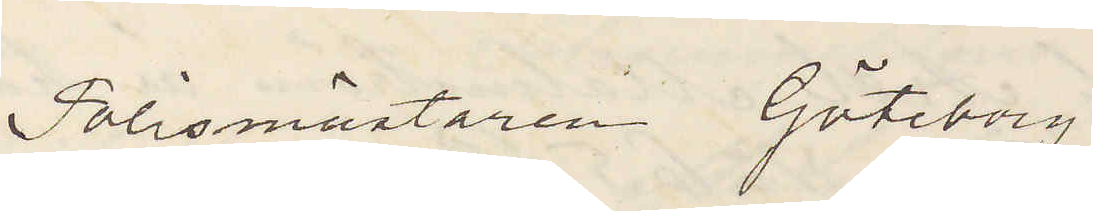Polismästaren Göteborg
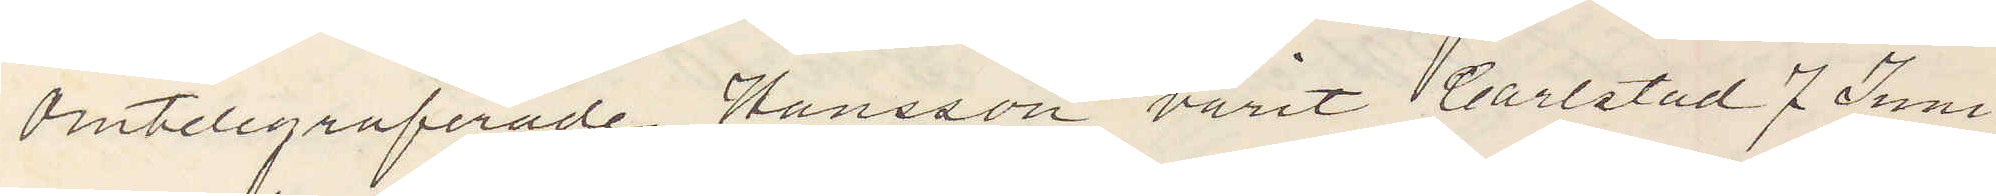Omtelegraferade Hansson varit Carlstad 7 Juni
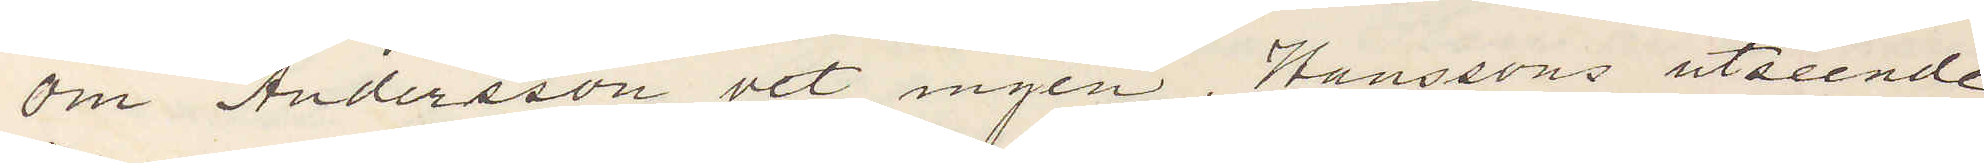om Andersson vet ingen, Hanssons utseende
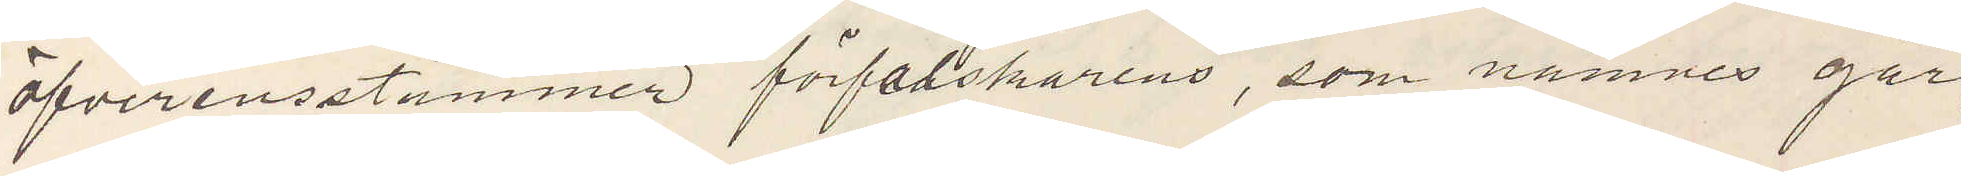öfverensstämmer förfalskarens, som nämnes går¬
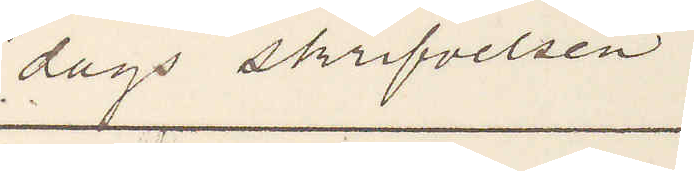dags skrifvelsen.
